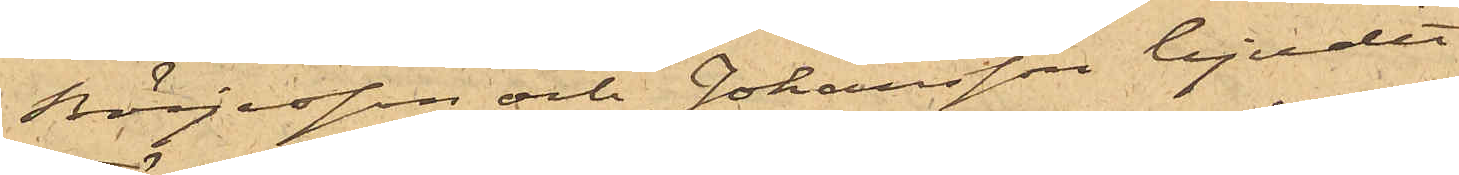Börjesson och Johansson bjudit
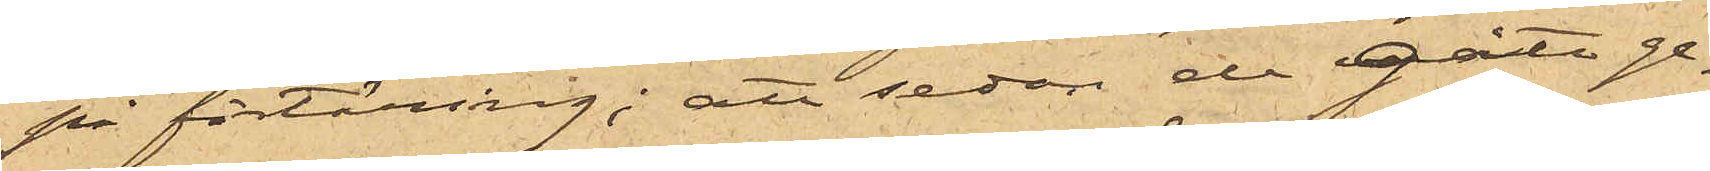på förtäring; att sedan de gått ge¬
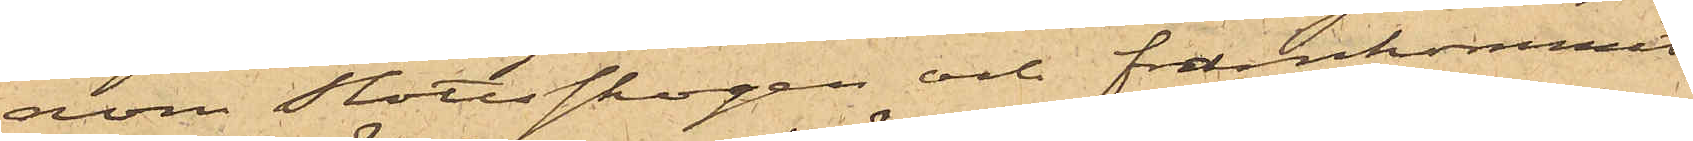nom Slottsskogen och framkommit
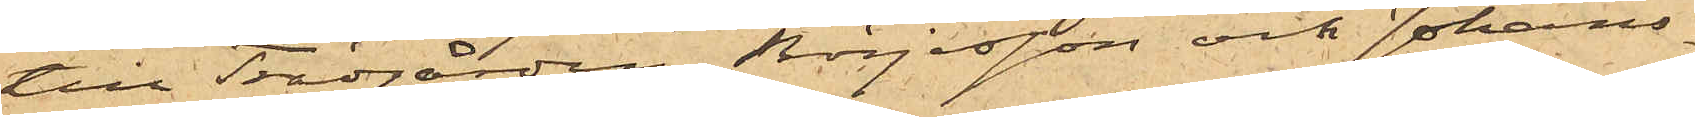till Trädgården, Börjesson och Johans¬
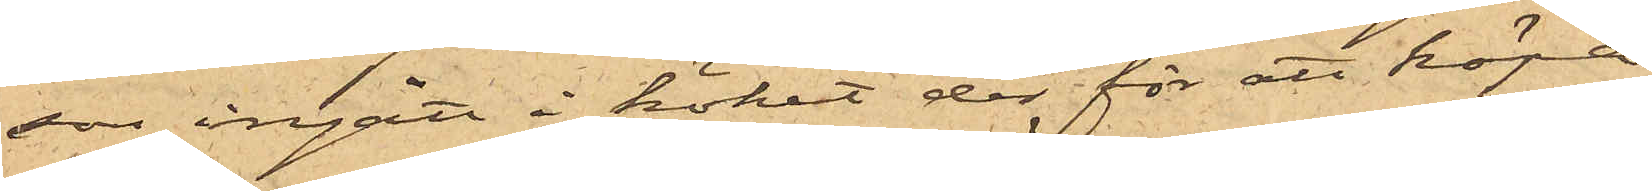son ingått i köket der för att köpa
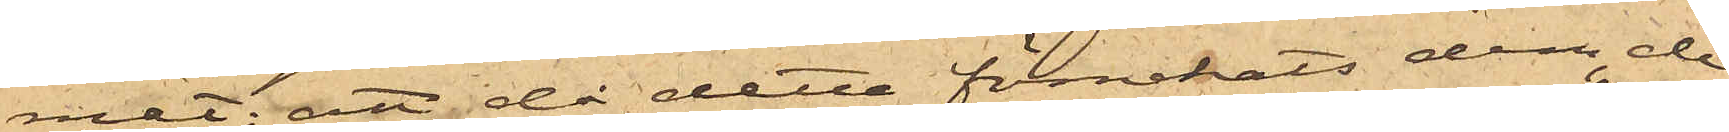mat; att då detta förnekats dem, de
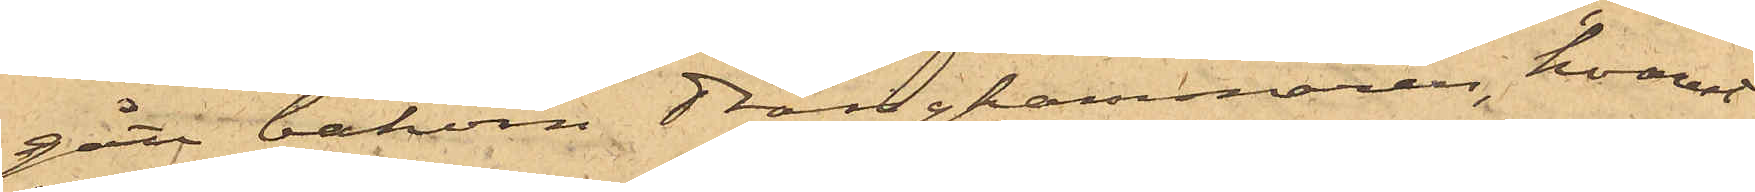gått bakom drängkammaren, hvarest
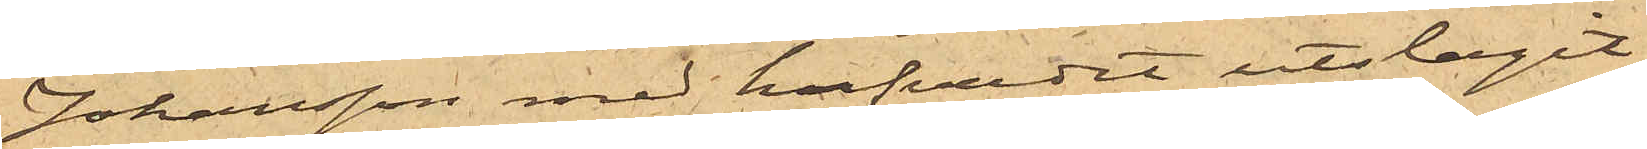Johansson med hufvudet utslagit
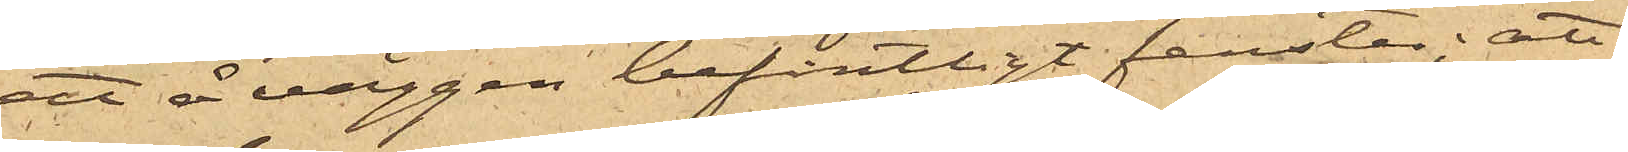ett å väggen befintligt fenster; att
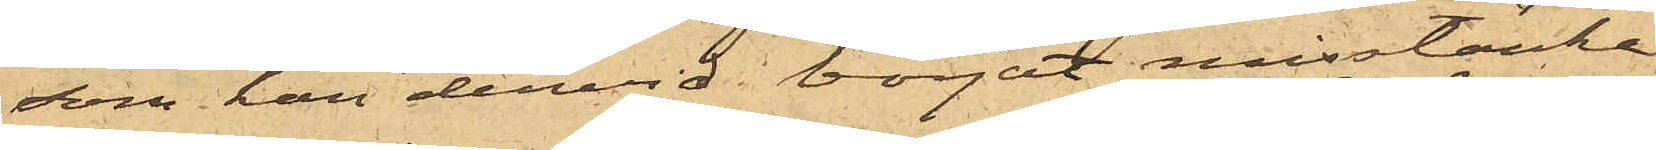som han dervid börjat misstänka
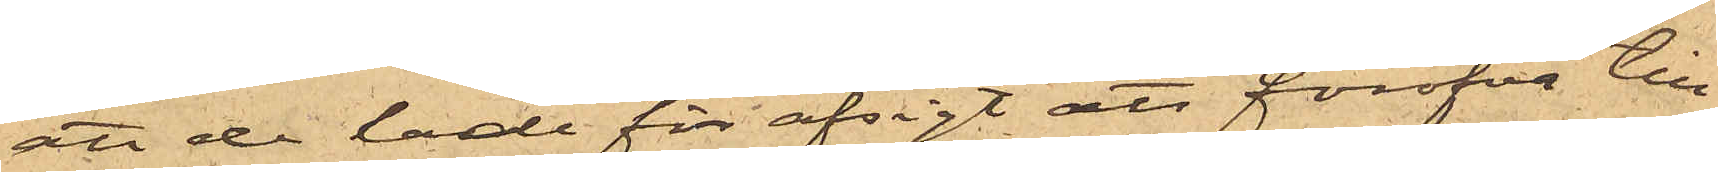att de hade för afsigt att föröfva till¬
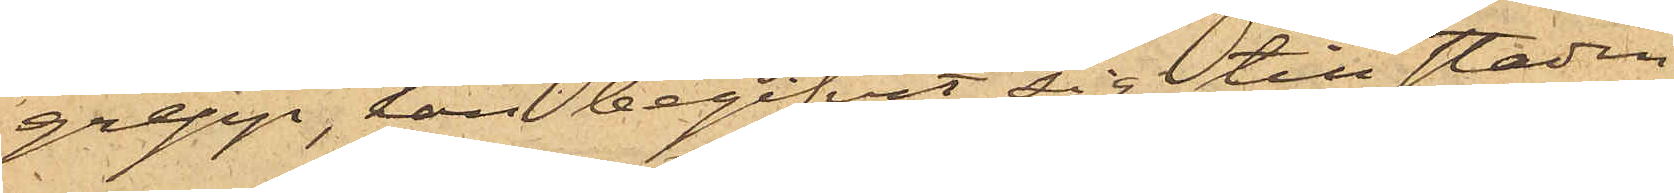grepp, han begifvit sig till staden
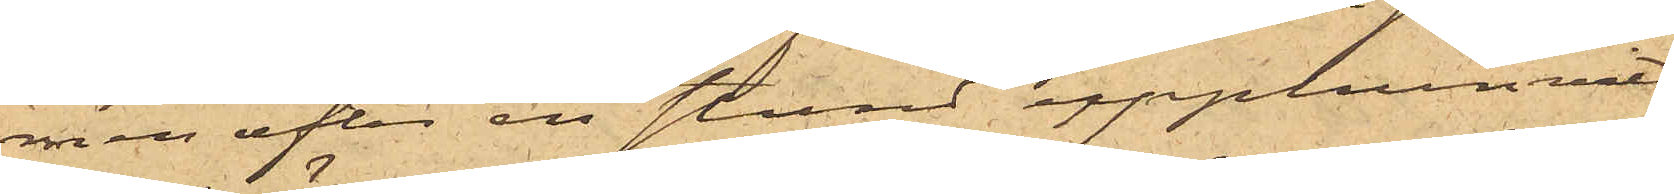men efter en stund upphunnits
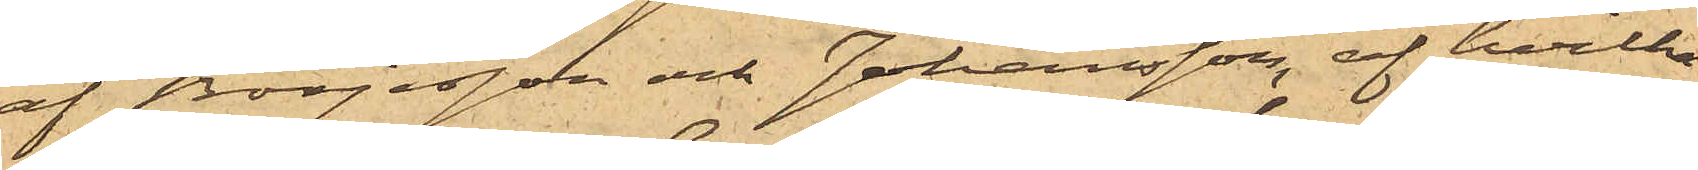af Börjesson och Johansson, af hvilka
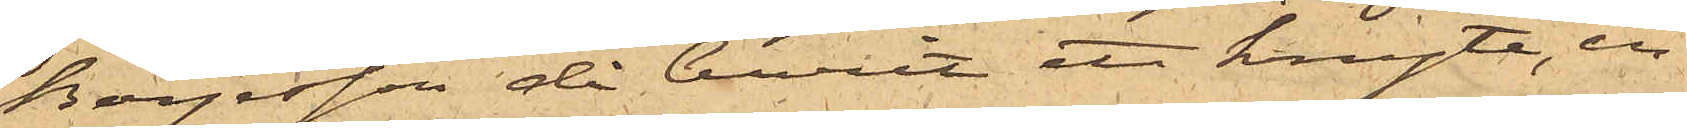Börjesson då burit ett knyte, in¬
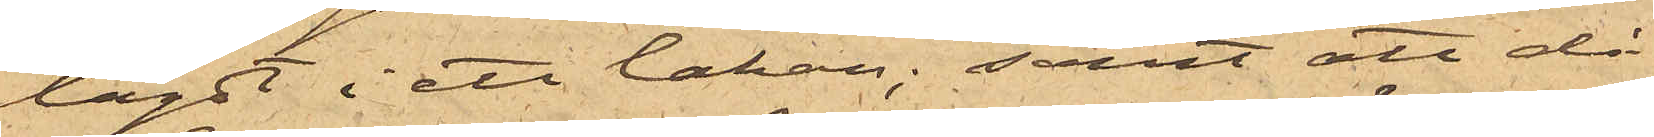lagdt i ett lakan; samt att då
